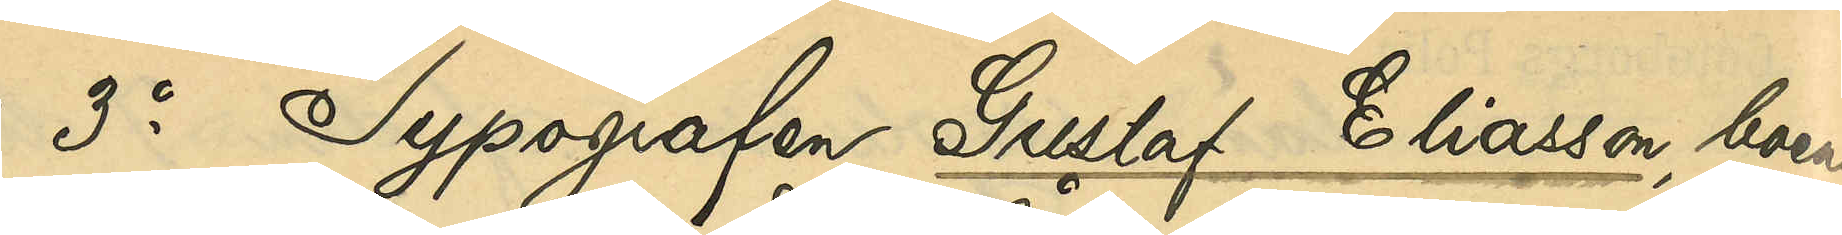3o Typografen Gustaf Eliasson, boende
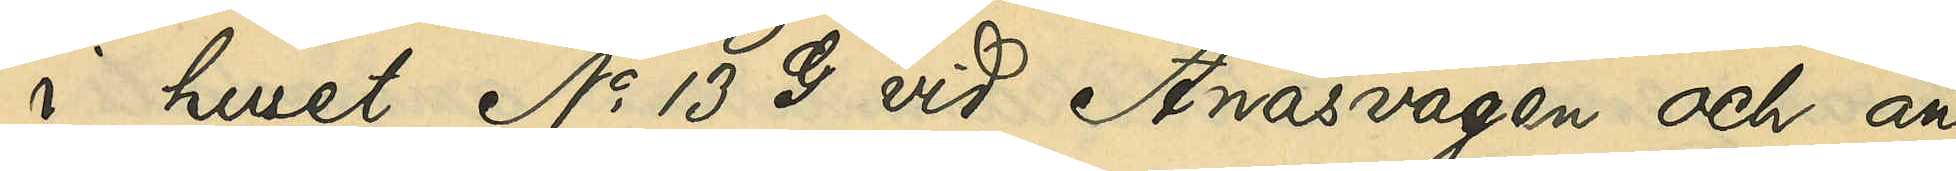i huset No 13 G vid Ånäsvägen och an¬
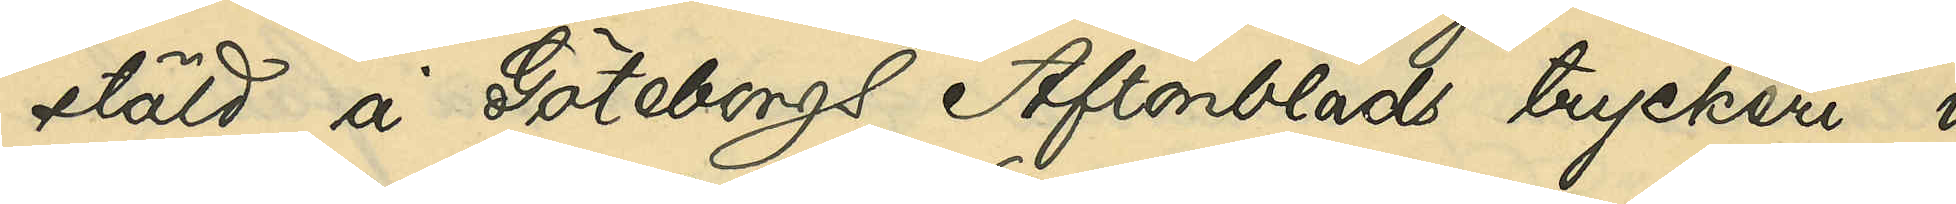stäld å Göteborgs Aftonblads tryckeri i
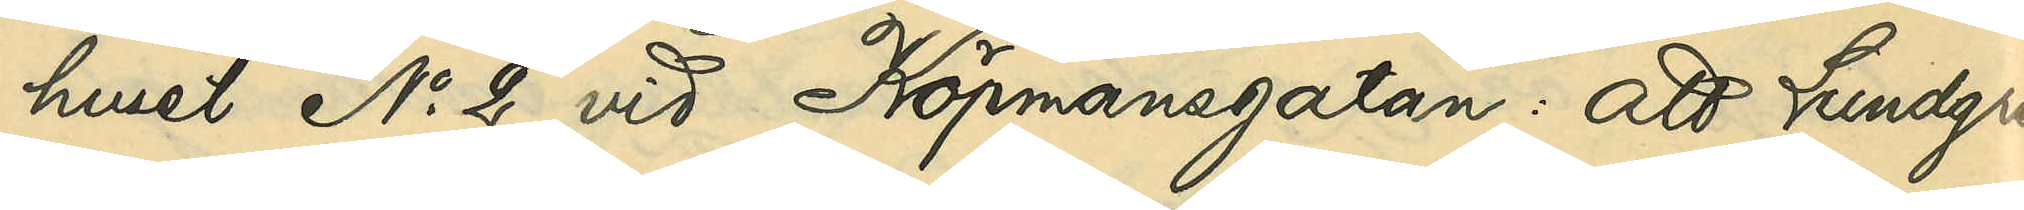huset No 2 vid Köpmansgatan: att Lundgren
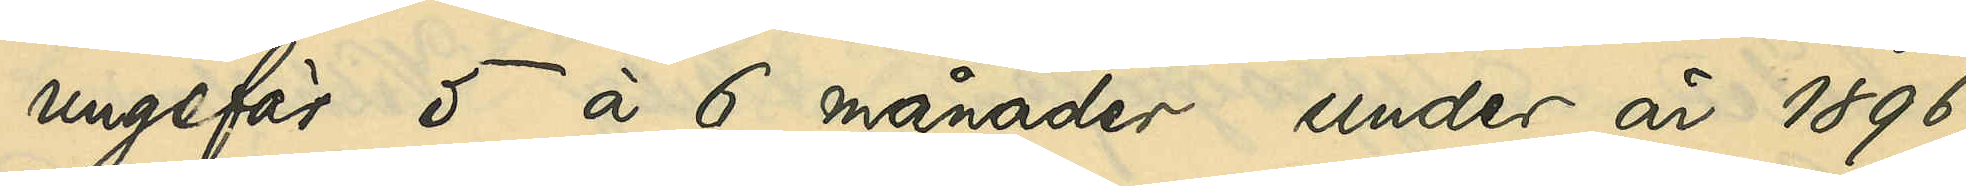ungefär 5 à 6 månader under år 1896
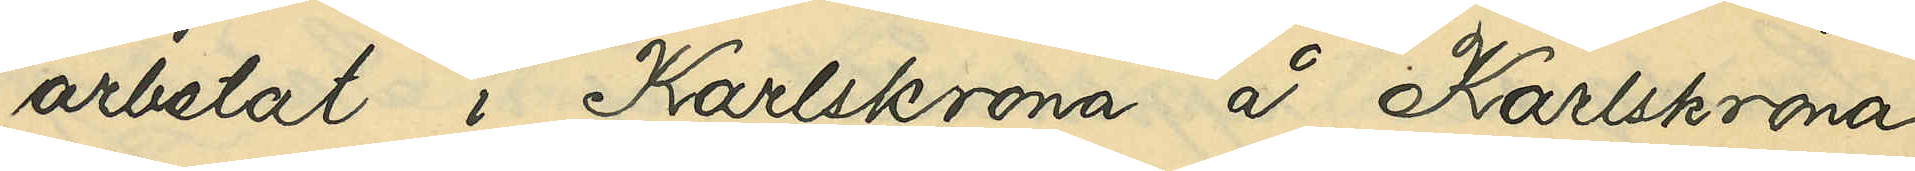arbetat i Karlskrona å Karlskrona
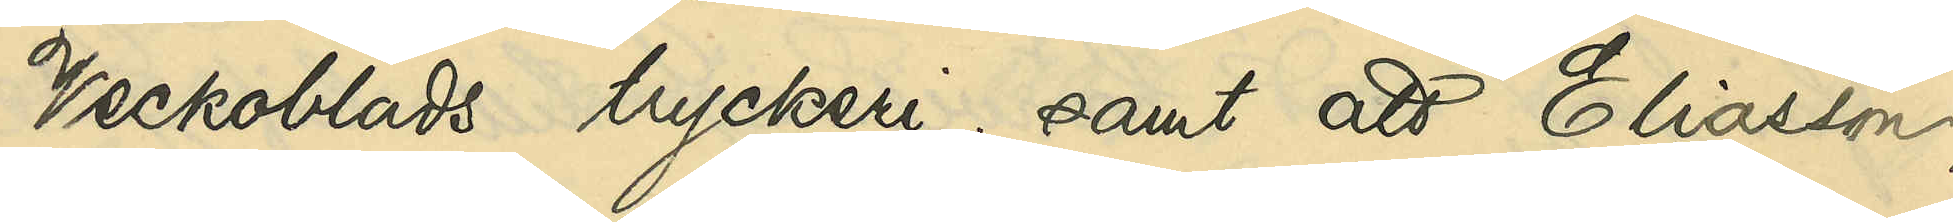Veckoblads tryckeri; samt att Eliassson,
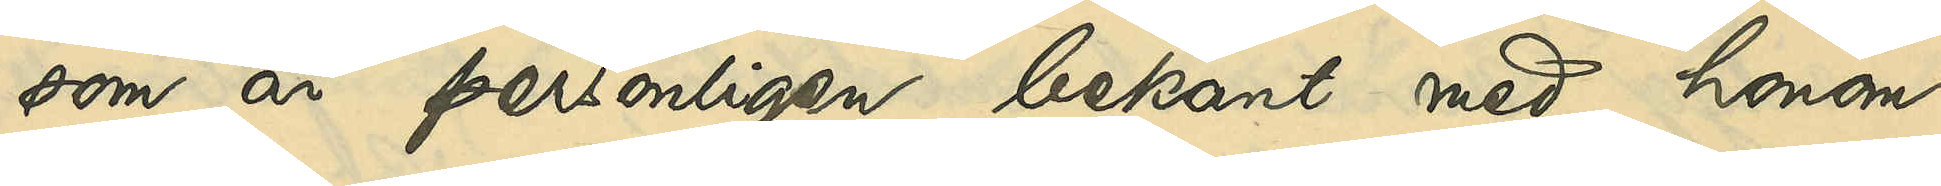som är personligen bekant med honom,
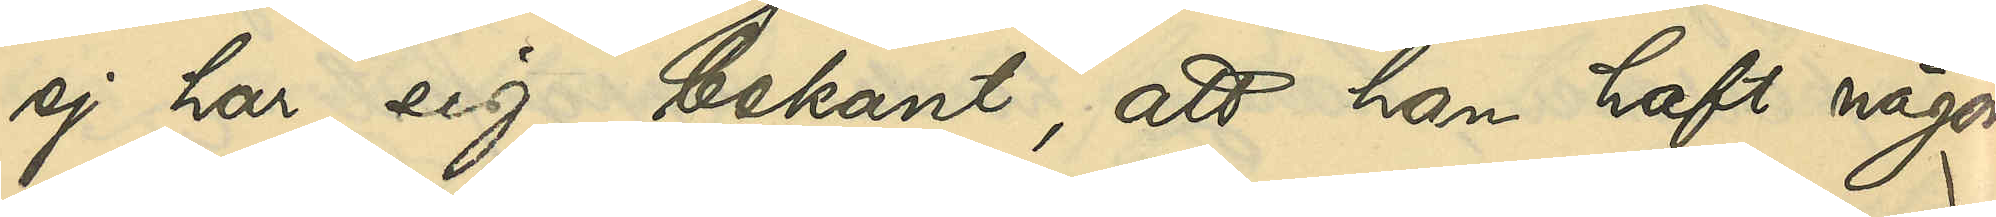ej har sig bekant, att han haft någon
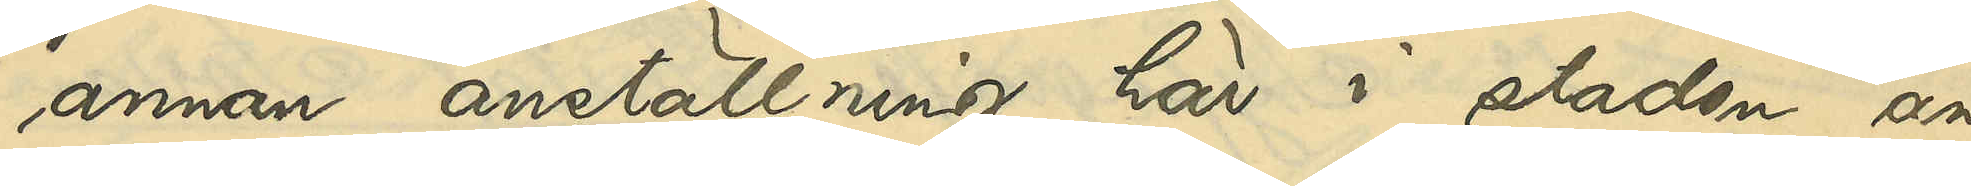annan anställning här i staden än
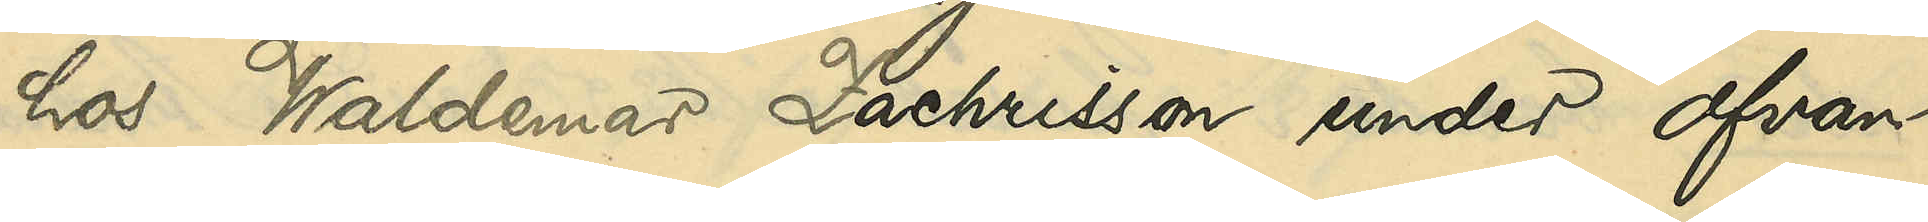hos Waldemar Zachrisson under ofvan
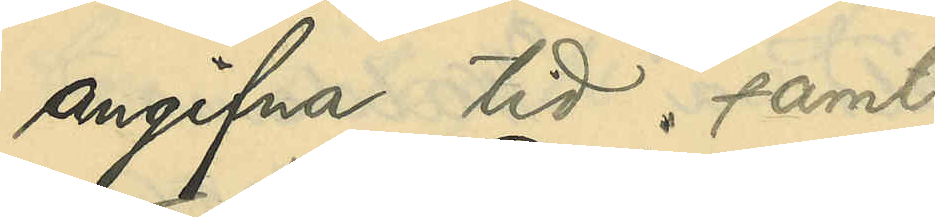angifna tid; samt
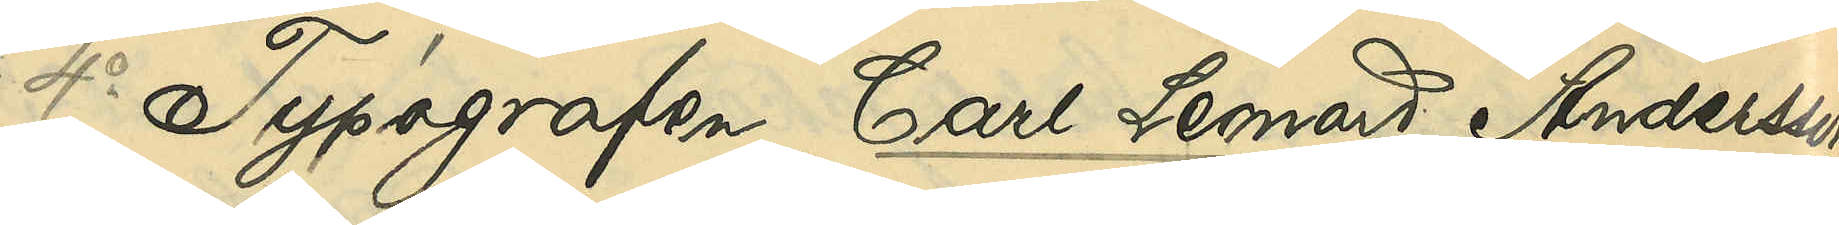4o Typografen Carl Leonard Andersson
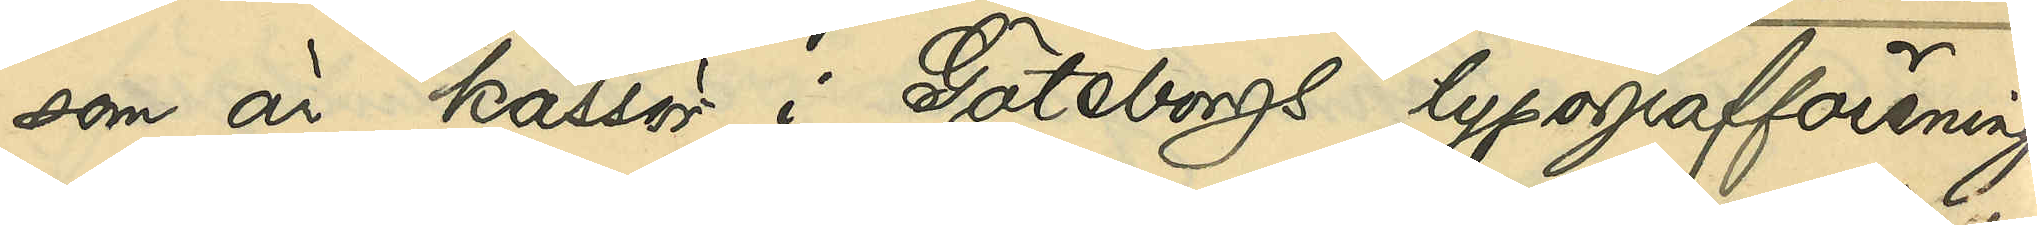som är kassör i Göteborgs typografförening
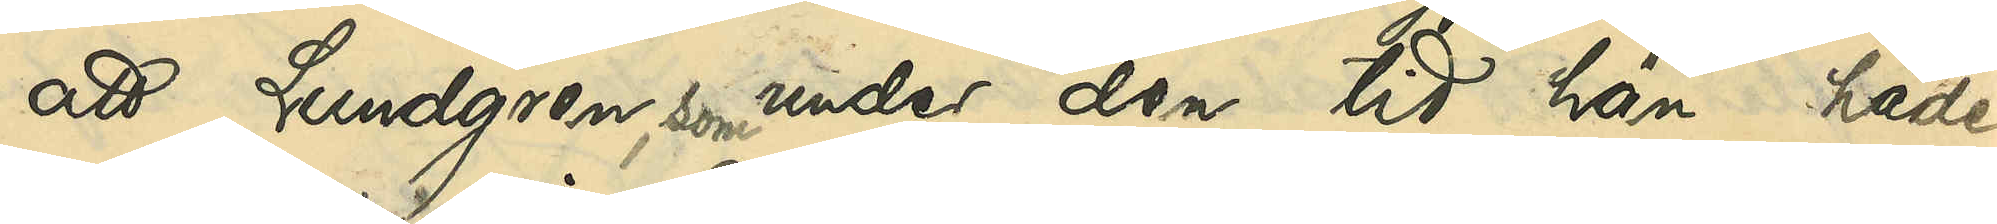att Lundgren, som under den tid han hade
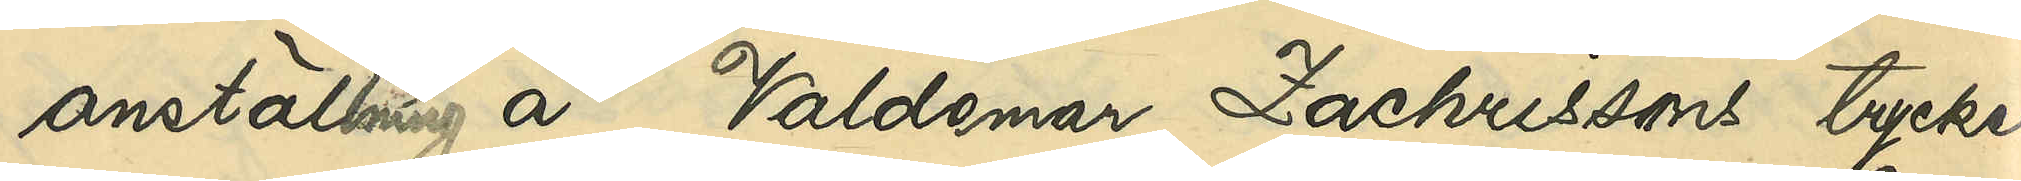anställning å Valdemar Zachrissons tryckeri
